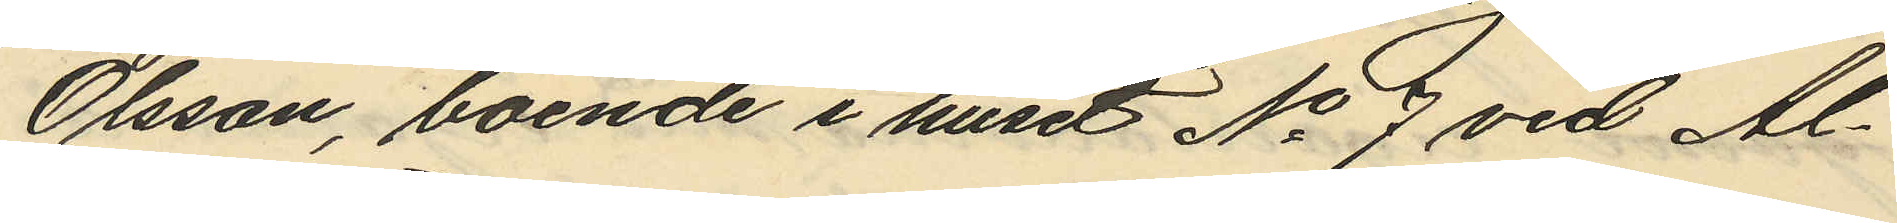Olsson, boende i huset No 9 vid Al¬
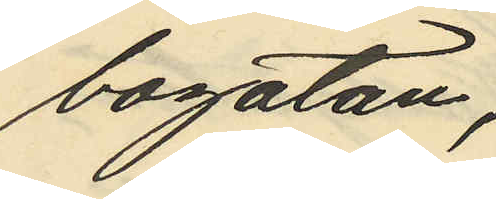bogatan;
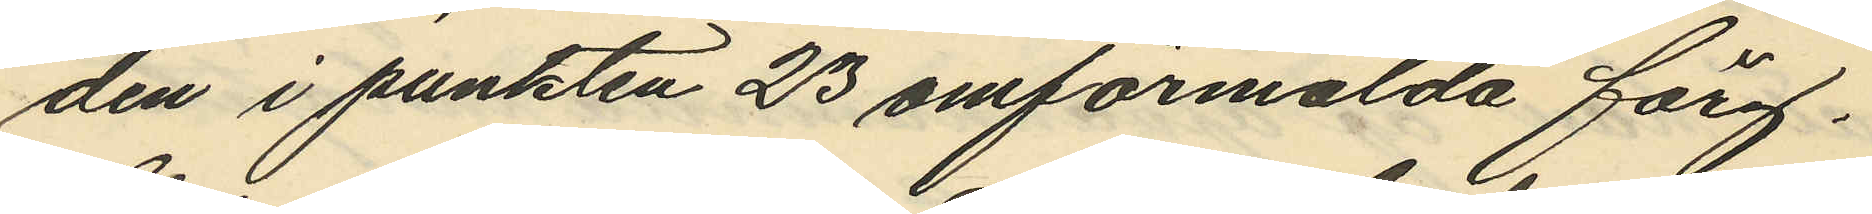den i punkten 23 omförmälda färg¬
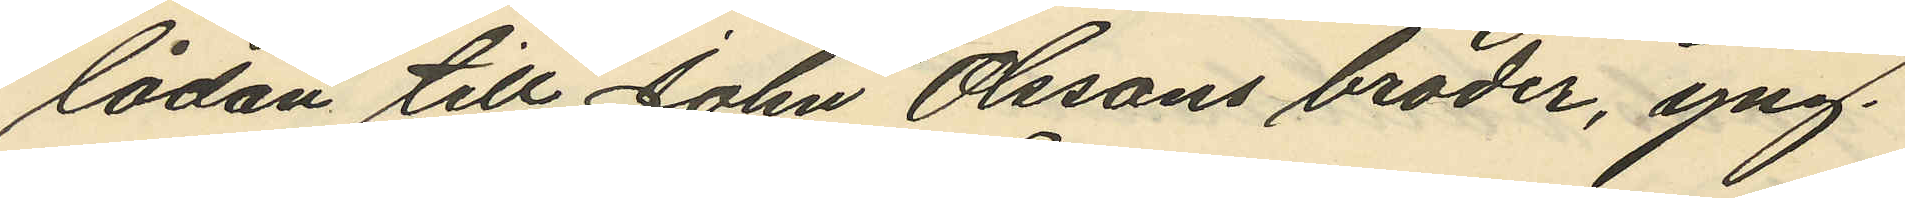lådan till John Olssons broder, yng¬
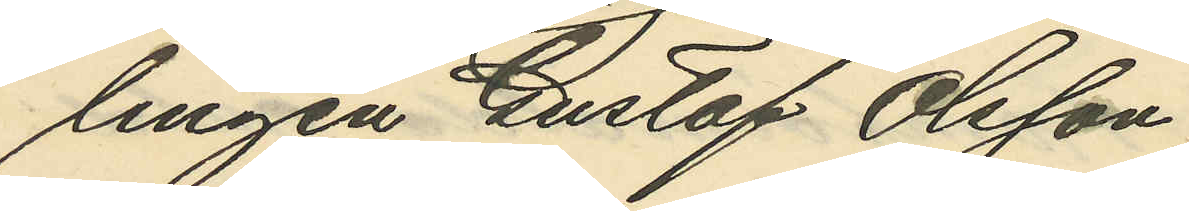lingen Gustaf Olsson,
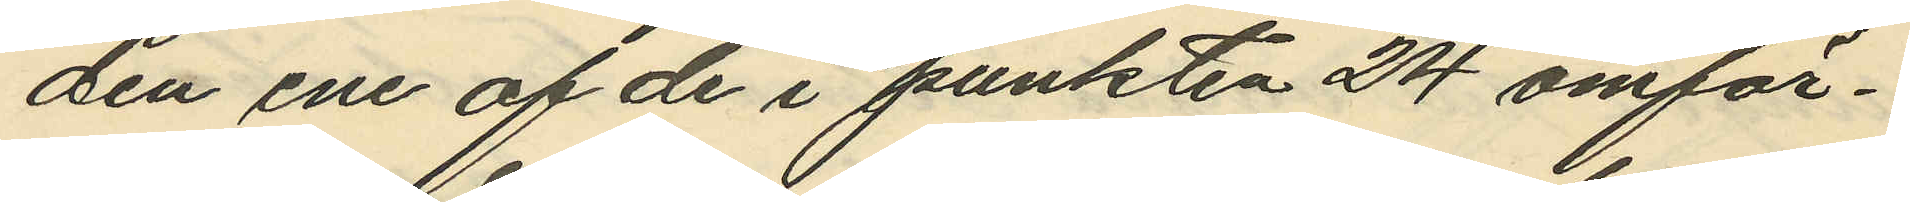den ene af de i punkten 24 omför¬
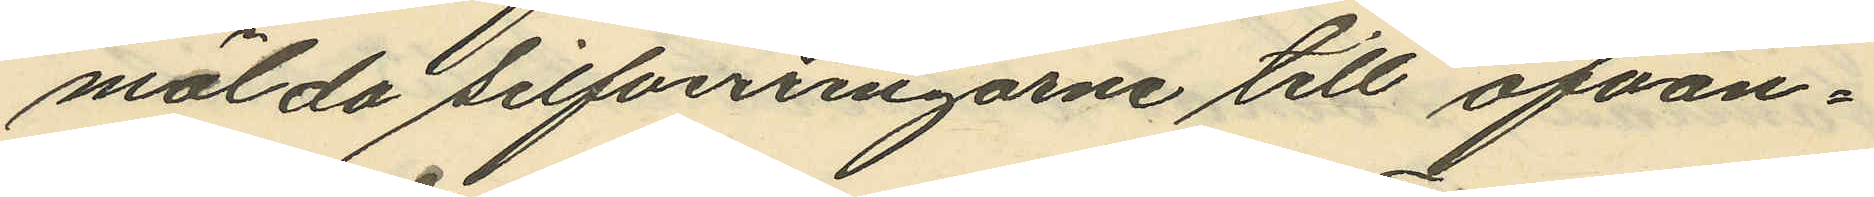mälda silfverringarne till ofvan¬
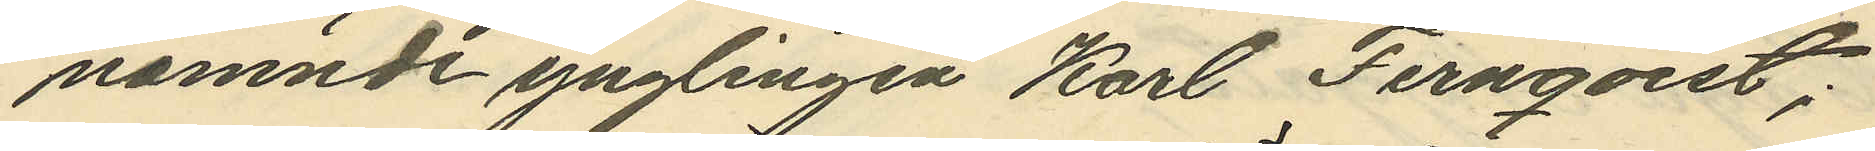nämnde ynglingen Karl Fernqvist;
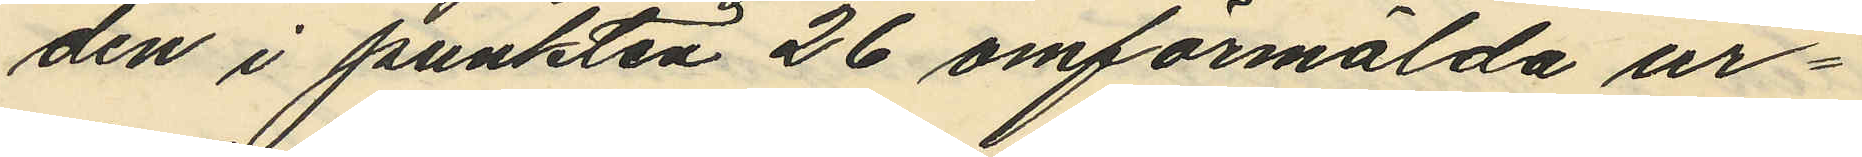den i punkten 26 omförmälda ur¬
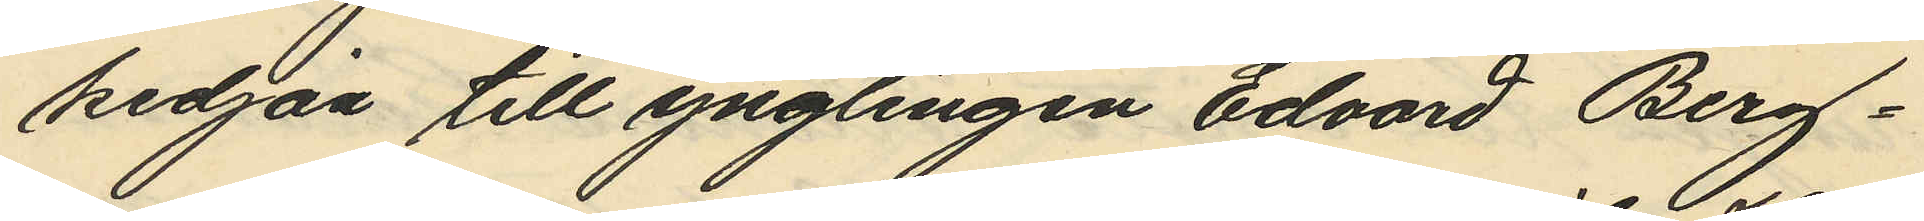kedjan till ynglingen Edvard Berg¬
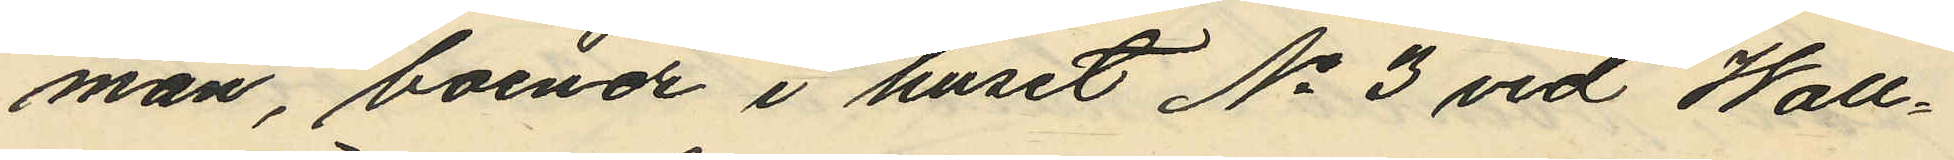man, boende i huset No 3 vid Wall¬
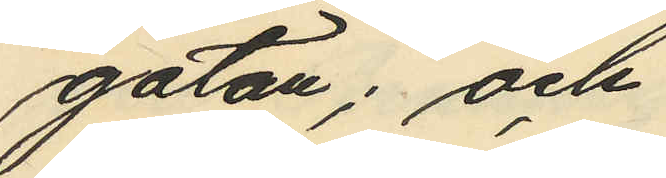gatan; och
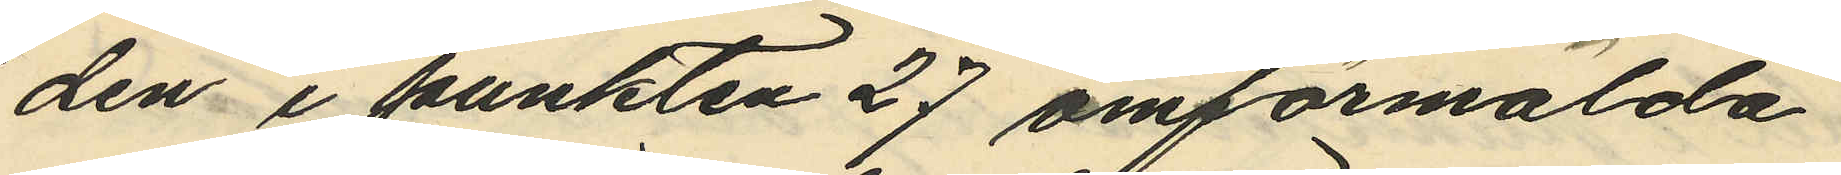den i punkten 27 omförmälda
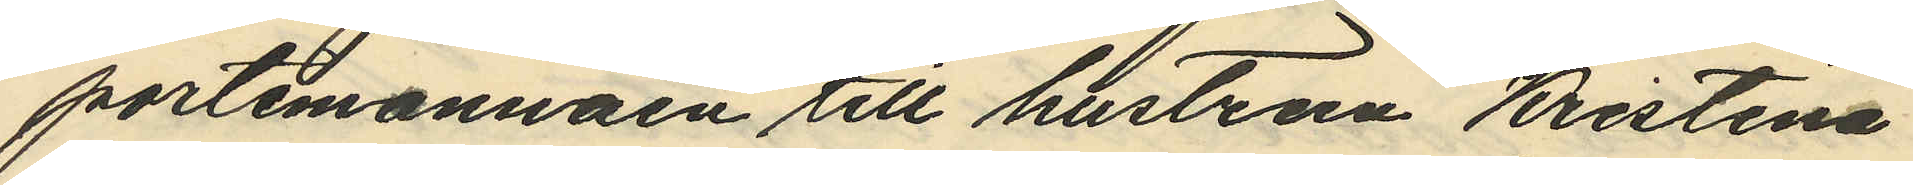portemonnäen till hustrun Kristina
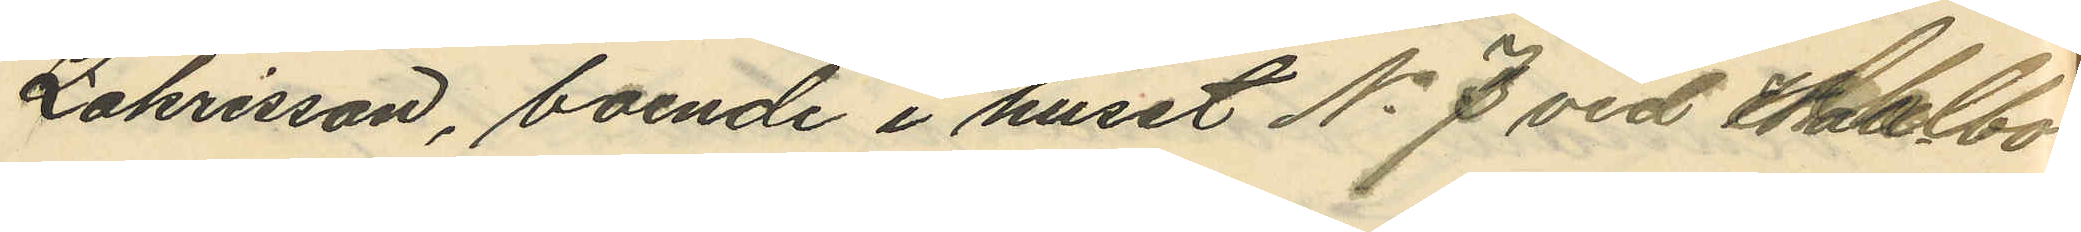Zakrisson, boende i huset No 7 vid Albo¬
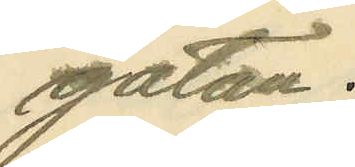gatan.
